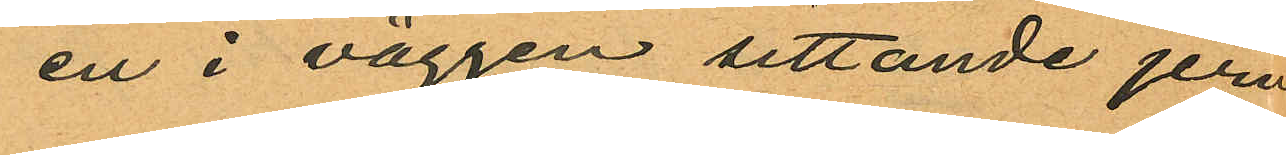en i väggen sittande jern¬
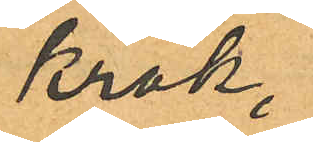krok,
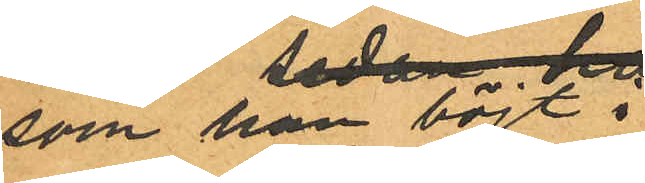som han böjt i
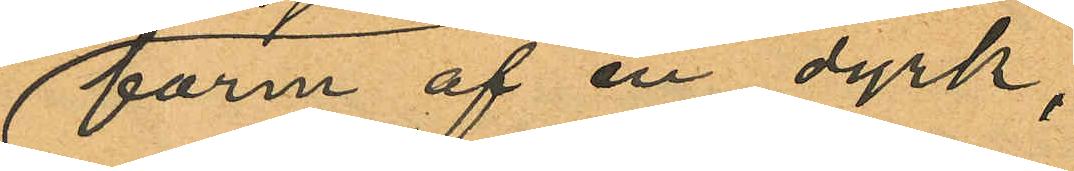form af en dyrk,
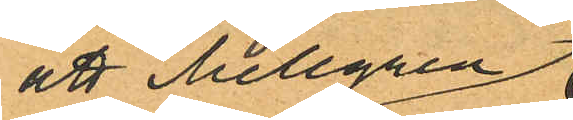att Mellgren
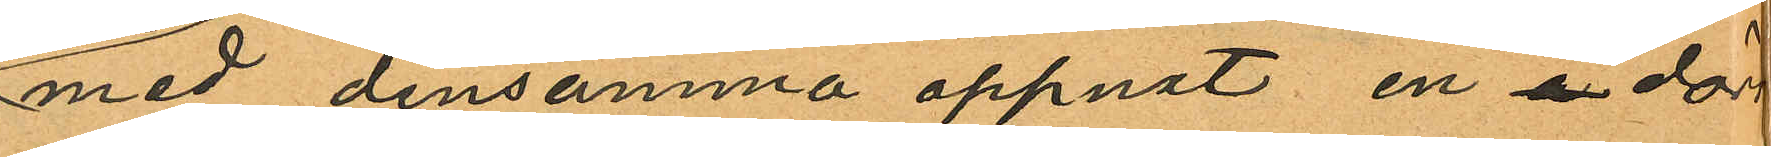med densamma öppnat en å dörr
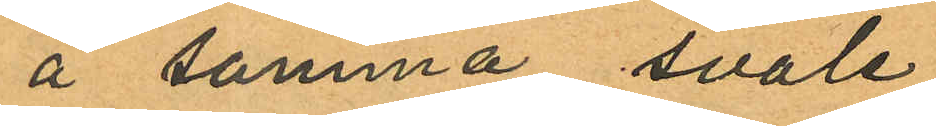å samma svale
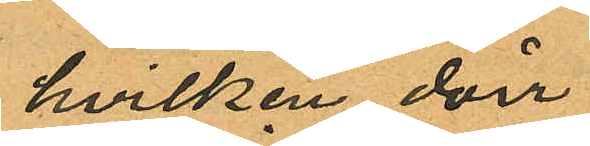hvilken dörr
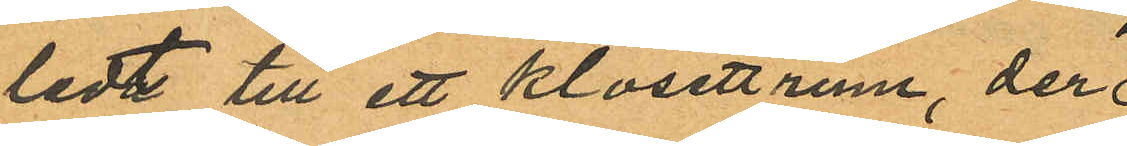ledt till ett klosettrum, der
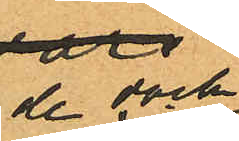de dock
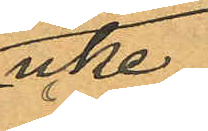icke
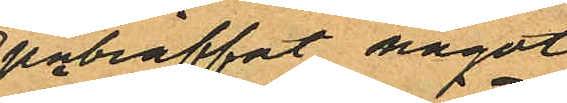påträffat något
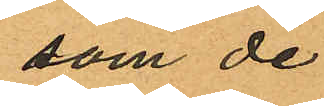som de
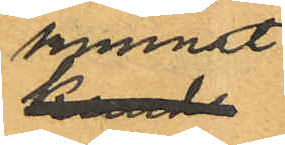kunnat
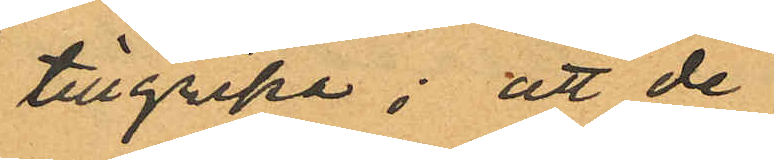tillgripa; att de
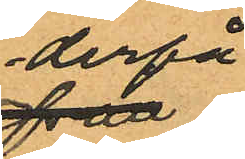derpå
